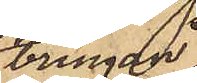bringa,
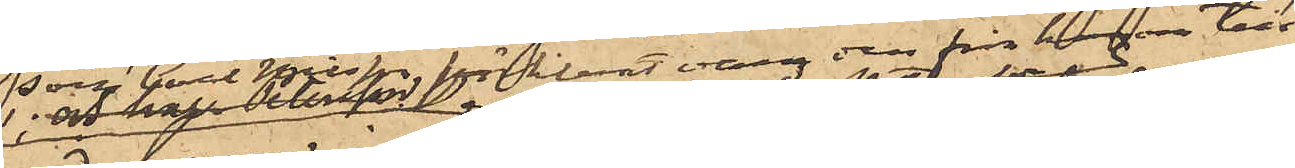som Carl Johan Petersson förklarat vara den från honom till¬
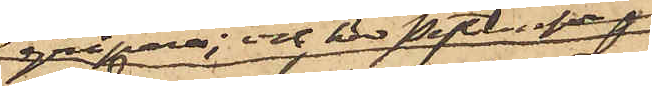gripne; och har Petersson
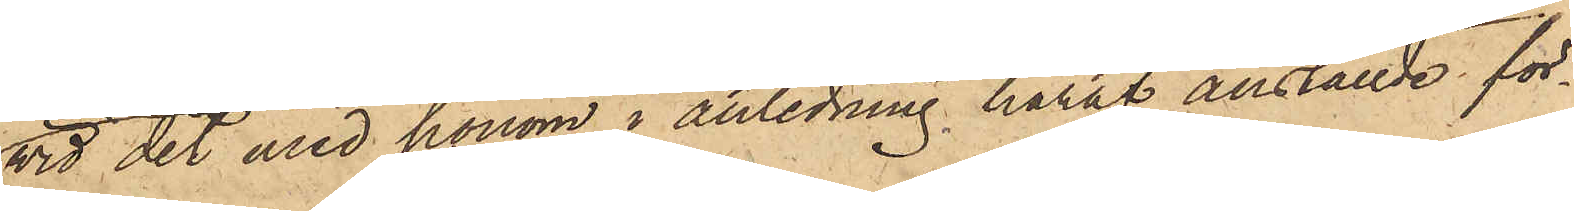vid det med honom i anledning häraf anställde för¬
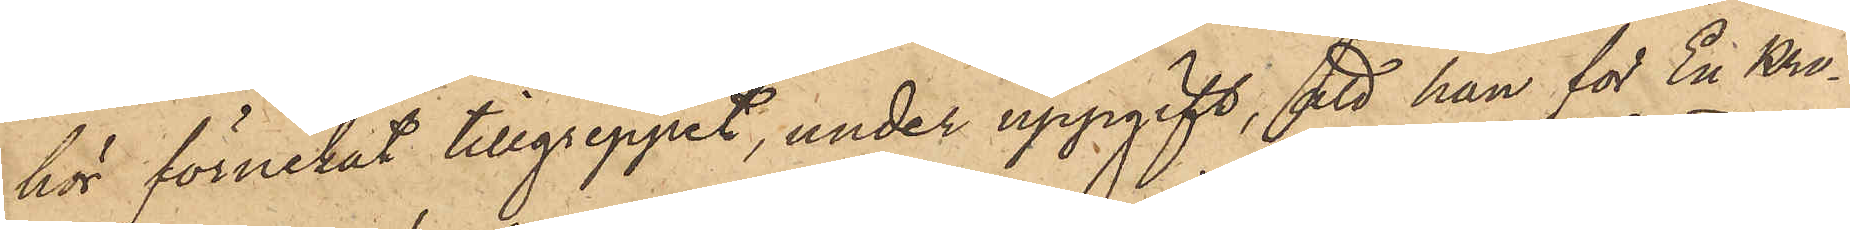hör förnekat tillgreppet, under uppgift, att han för En Kro¬
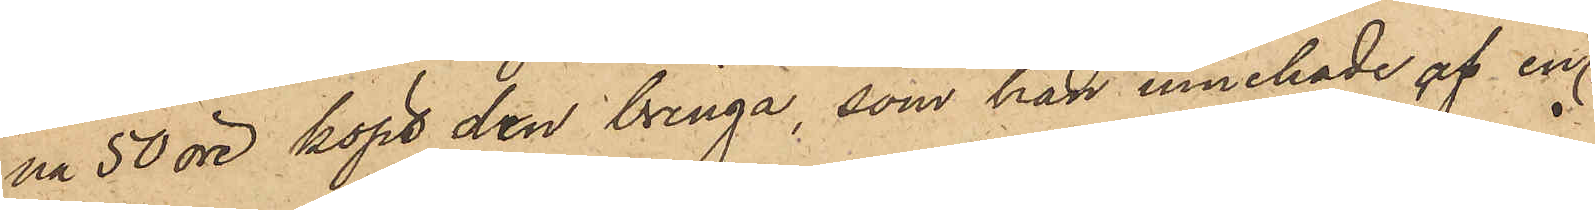na 50 öre köpt den bringa, som han innehade, af en
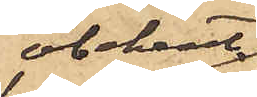obekant
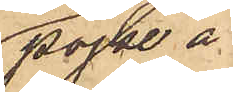pojke å
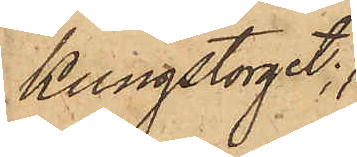Kungstorget;
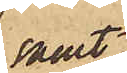samt
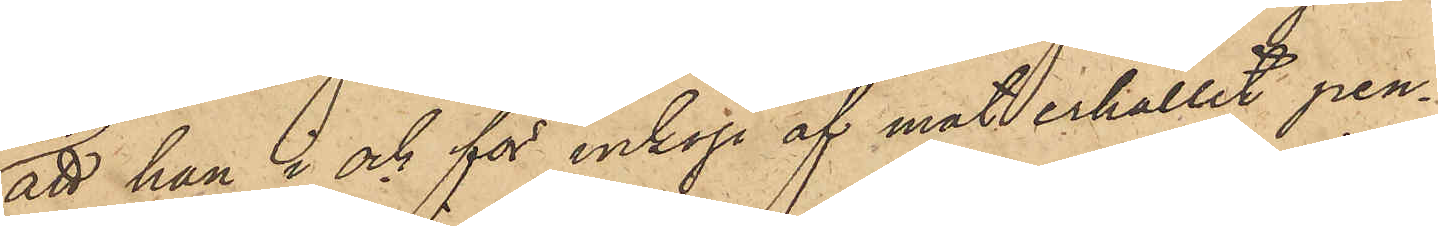att han i och för inköp af mat erhållit pen¬
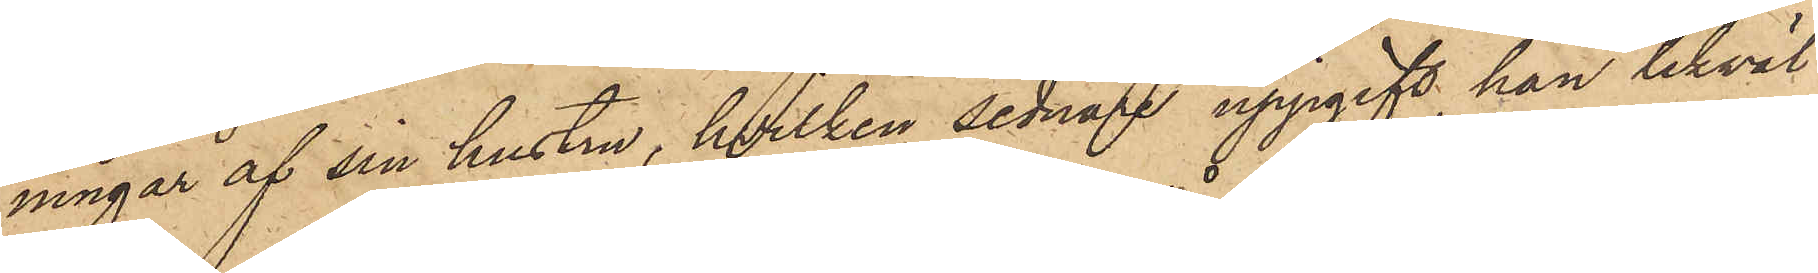ningar af sin hustru, hvilken sednare uppgift han likväl
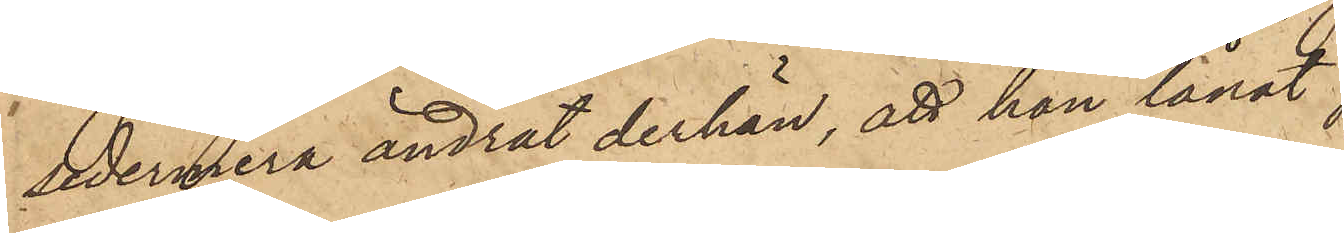sedermera ändrat derhän, att han lånat,
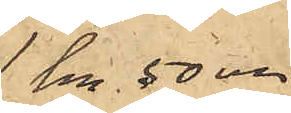1 Kr 50 öre
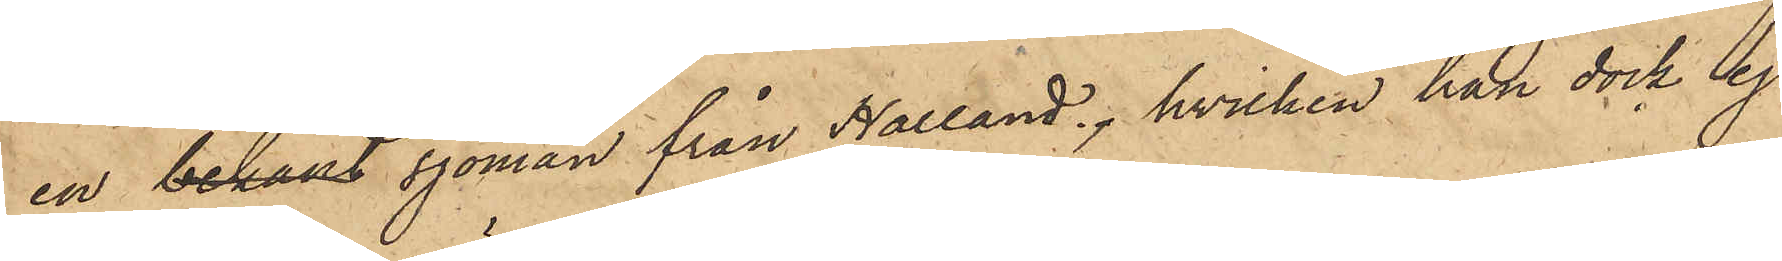en bekant sjöman från Halland, hvilken han dock ej
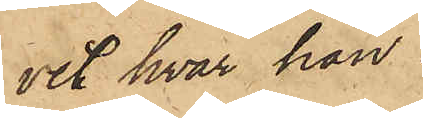vet hvar han
